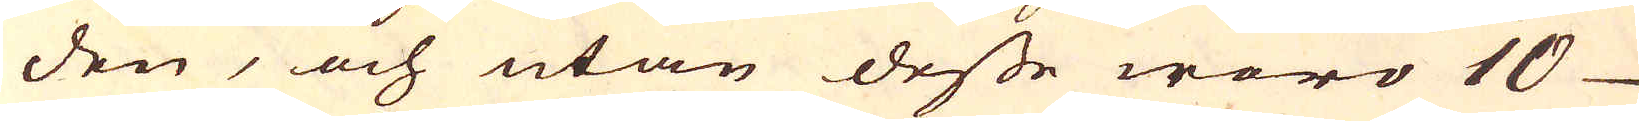den, och utan desse woro 10
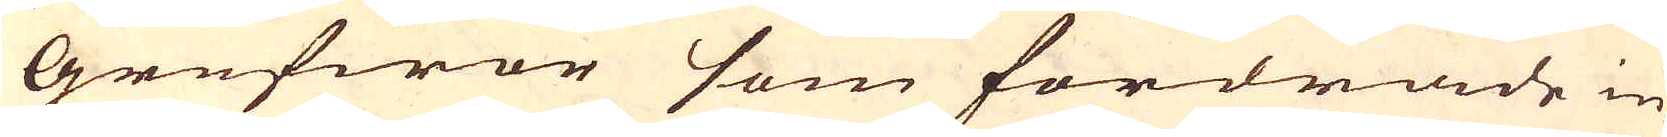Grufwor som fordrade in-
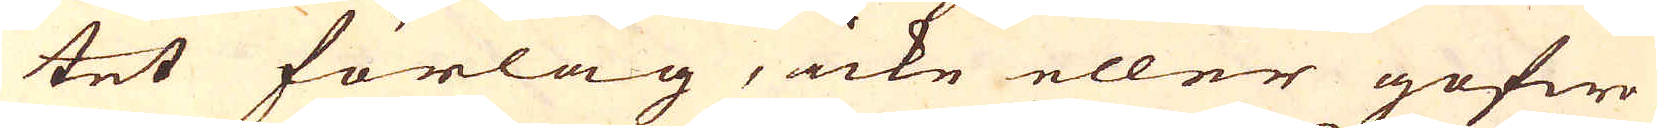tet förlag, icke eller gofwo
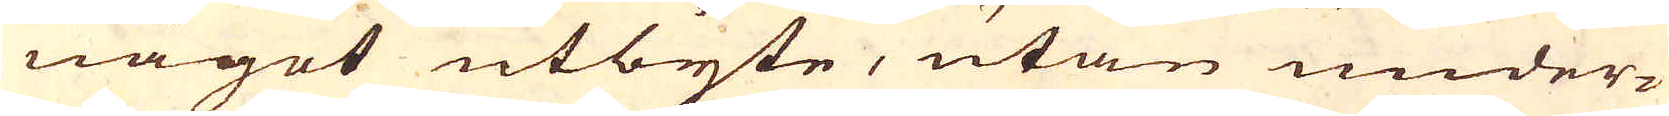något utbyte, utan under-
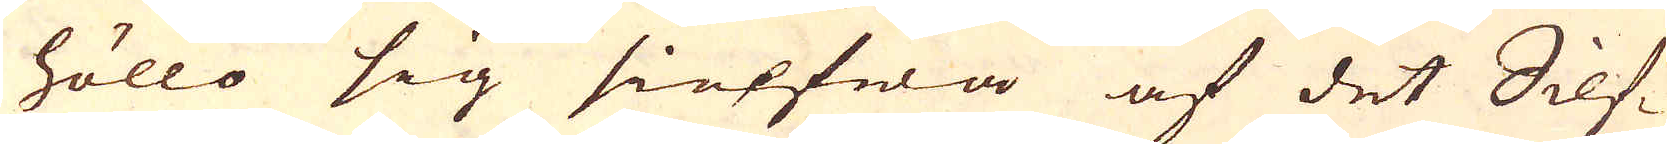höllo sig sielfwa af det Silf-
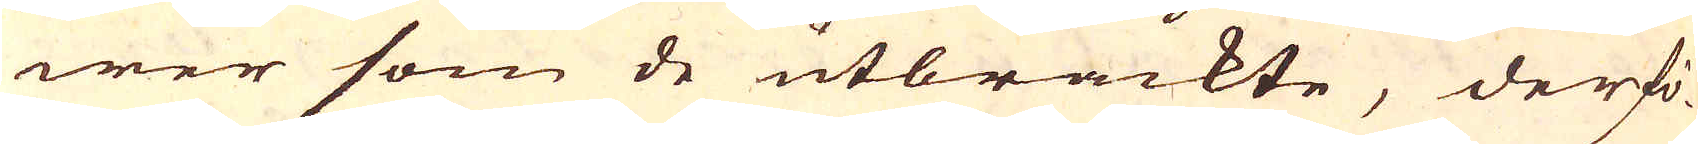wer som de utbrackte, derfö-
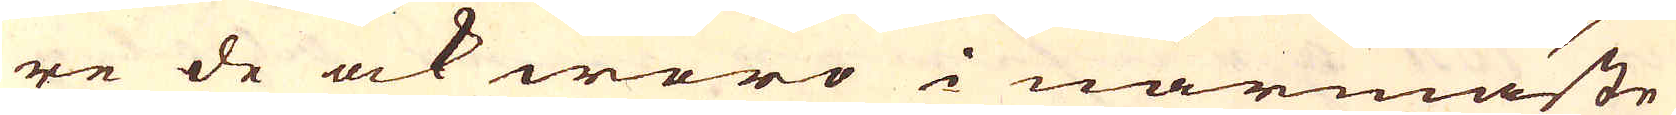re de ock woro i närmaste
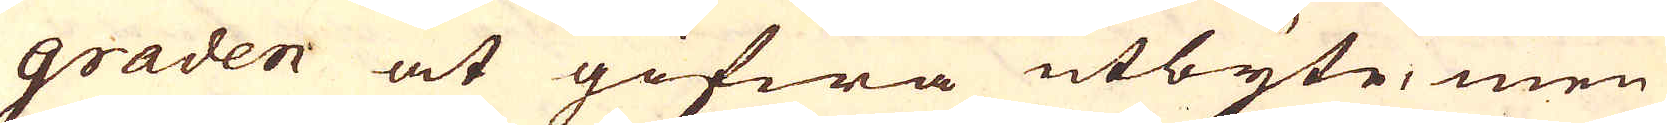graden at gifwa utbyte, men
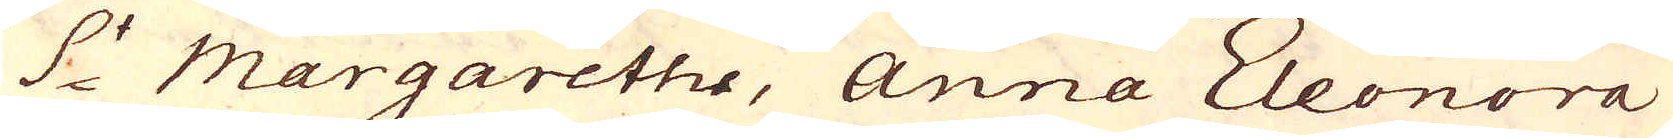S:t Margarethe, Anna Eleonora
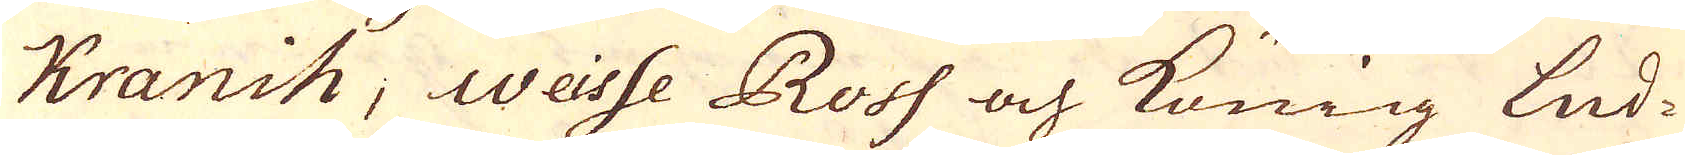Kranih, Weisse Ross och König Lud-
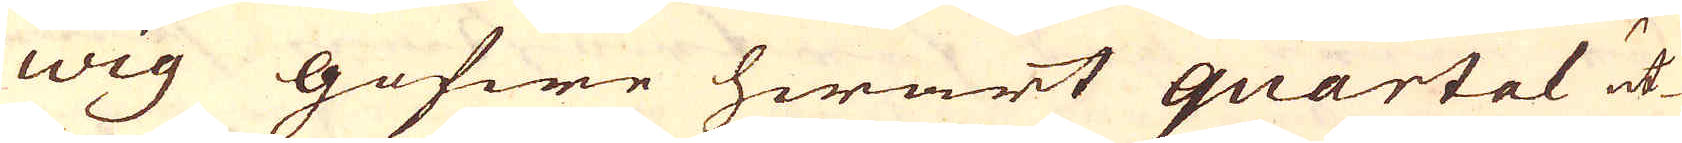wig gofwe hwart quartal ut-
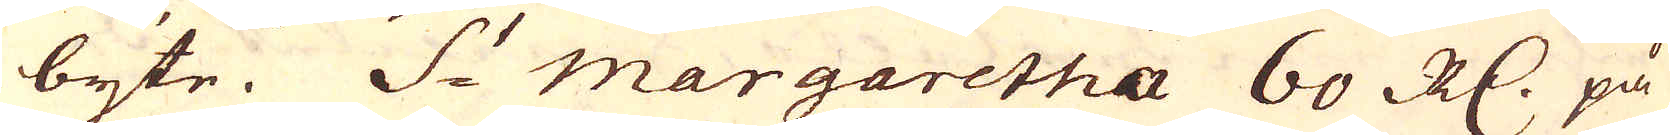byte. S:t Margaretha 60 R:dr på
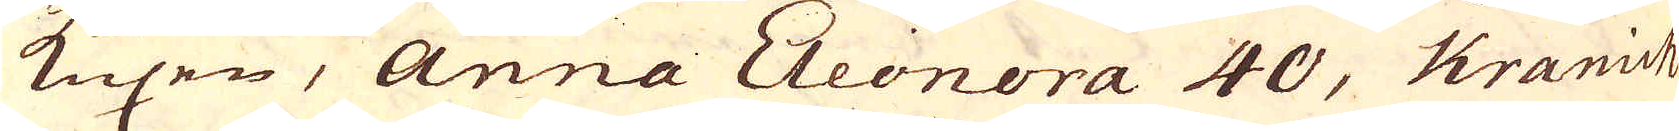Kuxen, Anna Eleonora 40, Kranich
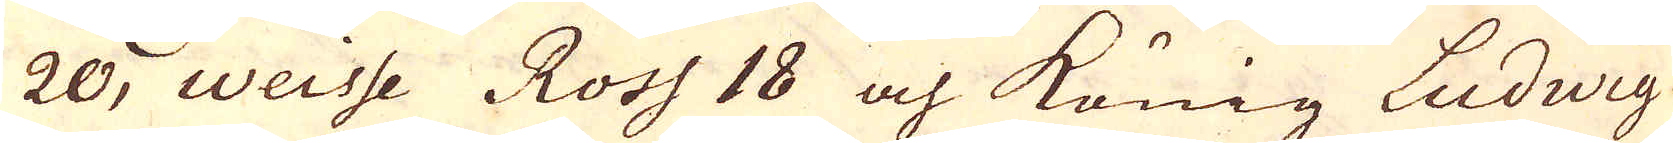20, Weisse Ross 18 och König Ludwig
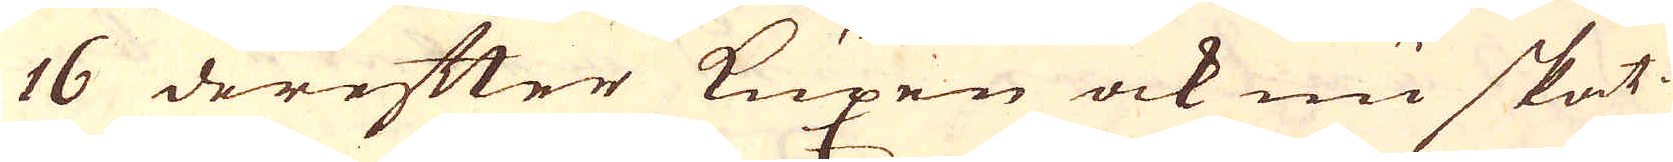16 derefter Kuxen ock nu skat-
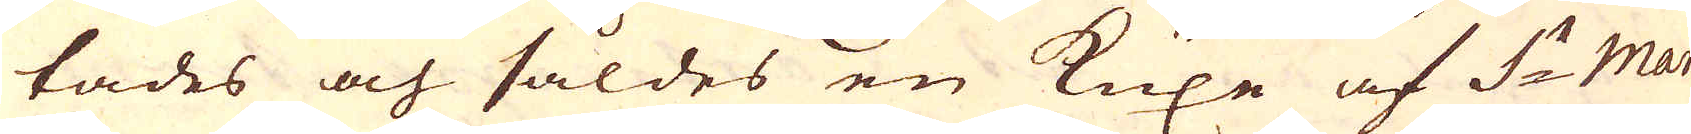tades och såldes en Kuxe af S:t Mar-
